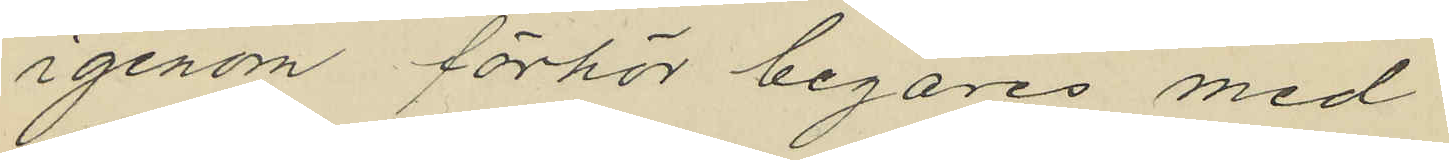igenom förhör begäres med
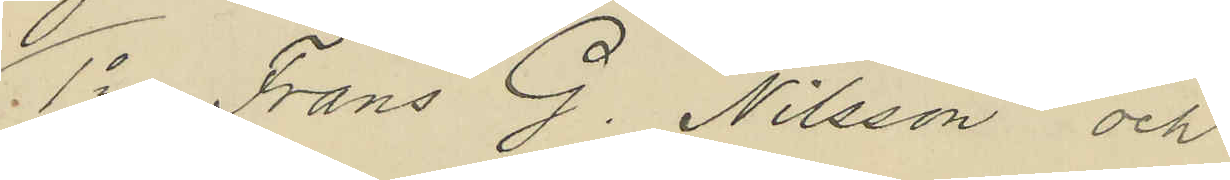1o Frans G. Nilsson och
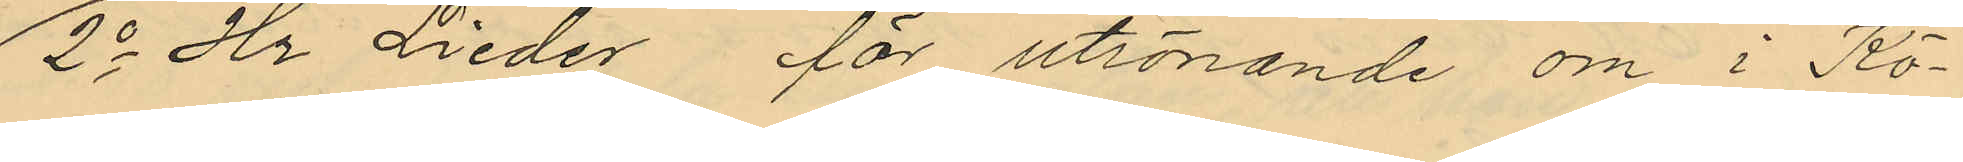2o Hr Lieder för utrönande om i Kö¬
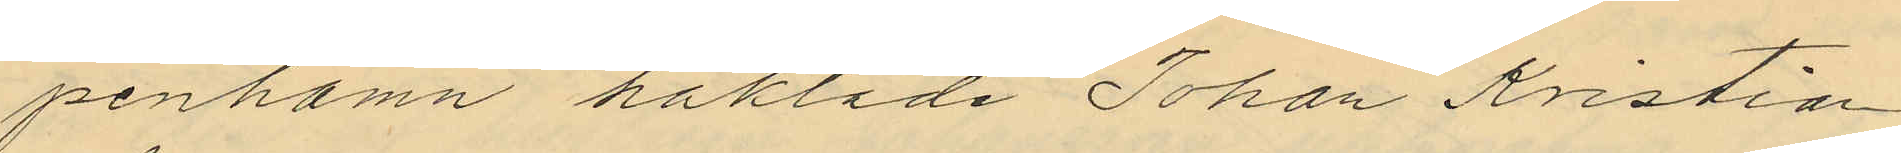penhamn häktade Johan Kristian
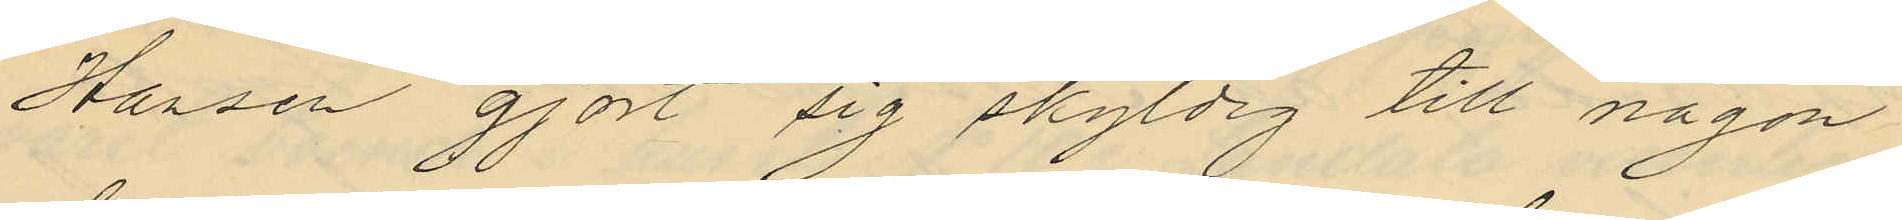Hansen gjort sig skyldig till någon
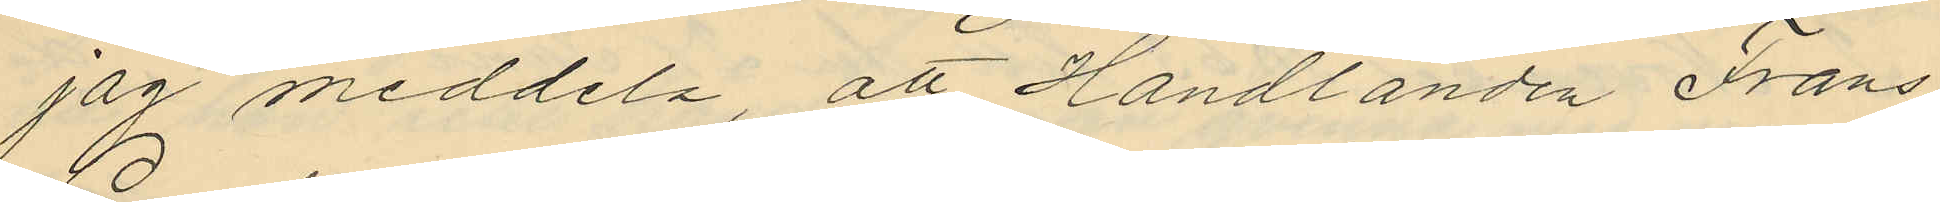jag meddela, att Handlanden Frans
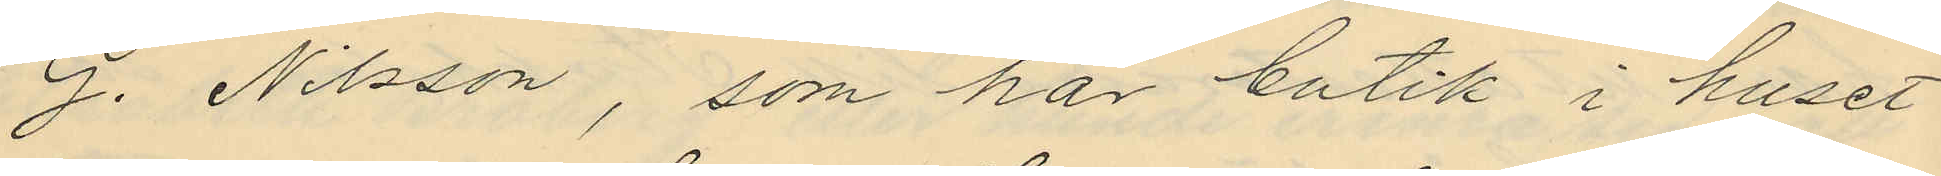G. Nilsson, som har butik i huset
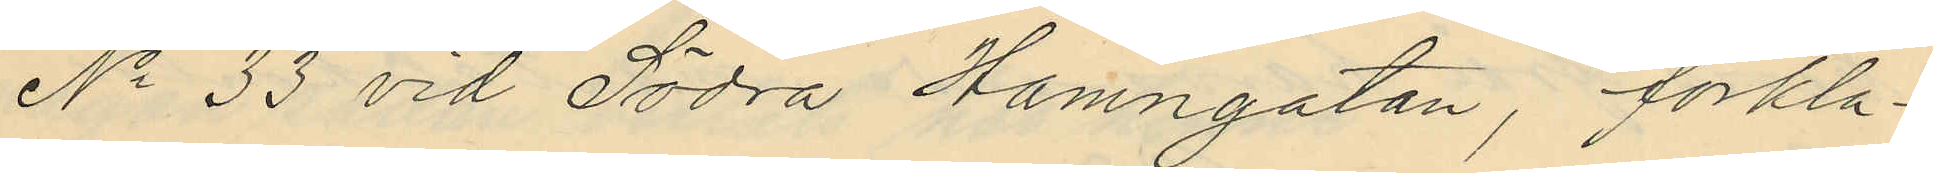No 33 vid Södra Hamngatan, förkla¬
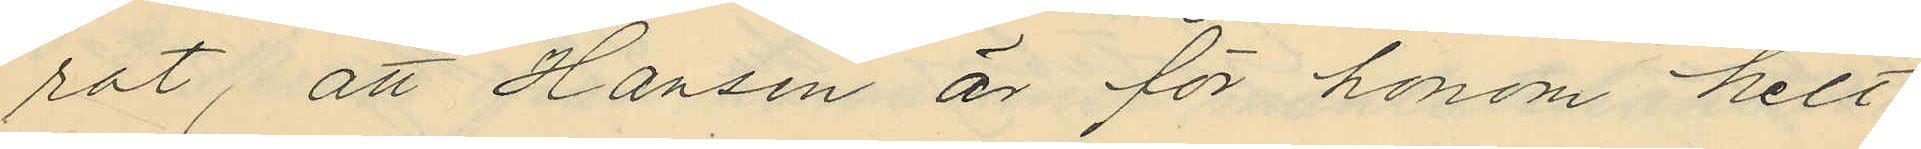rat, att Hansen är för honom helt
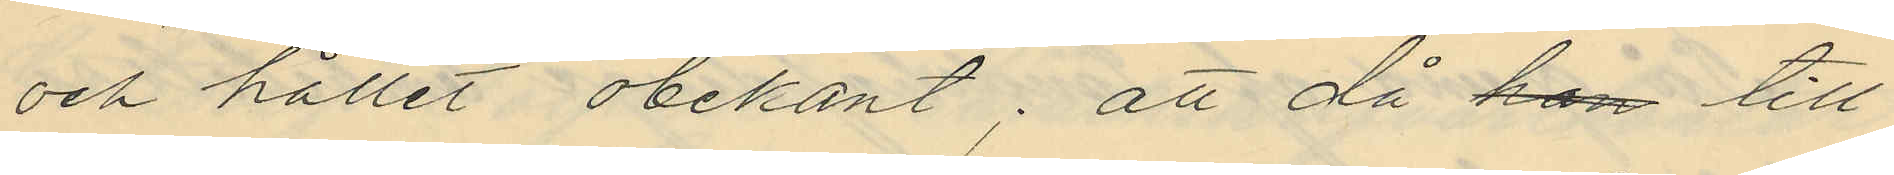och hållet obekant; att då han till
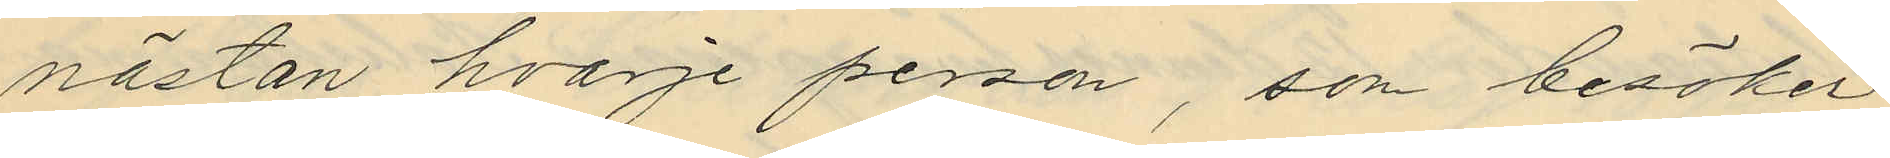nästan hvarje person, som besöker
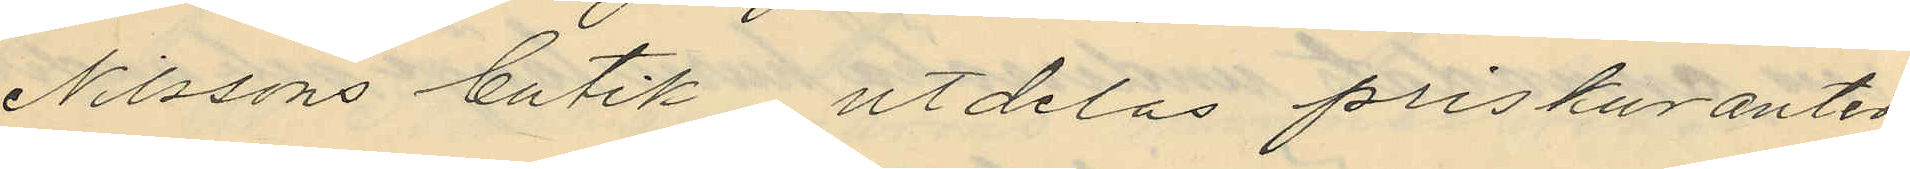Nilssons butik utdelas priskuranter
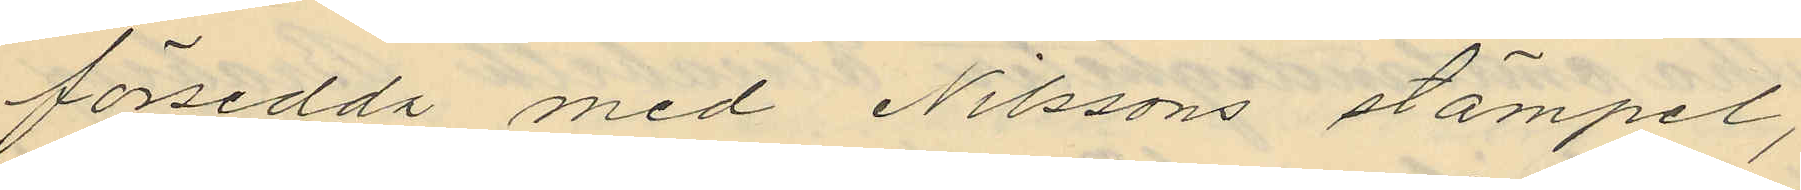försedda med Nilssons stämpel,
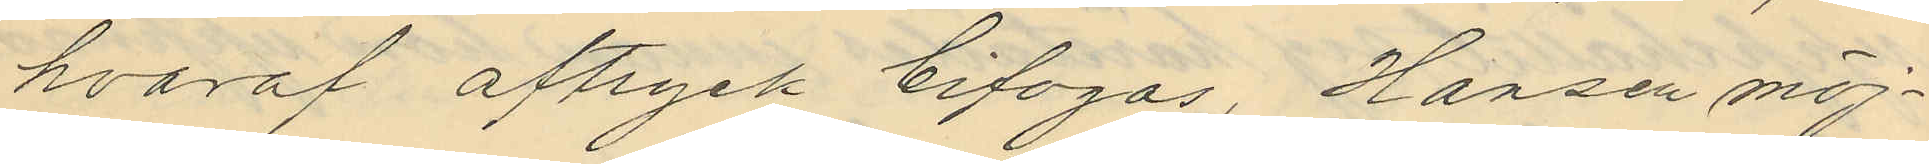hvaraf aftryck bifogas, Hansen möj¬
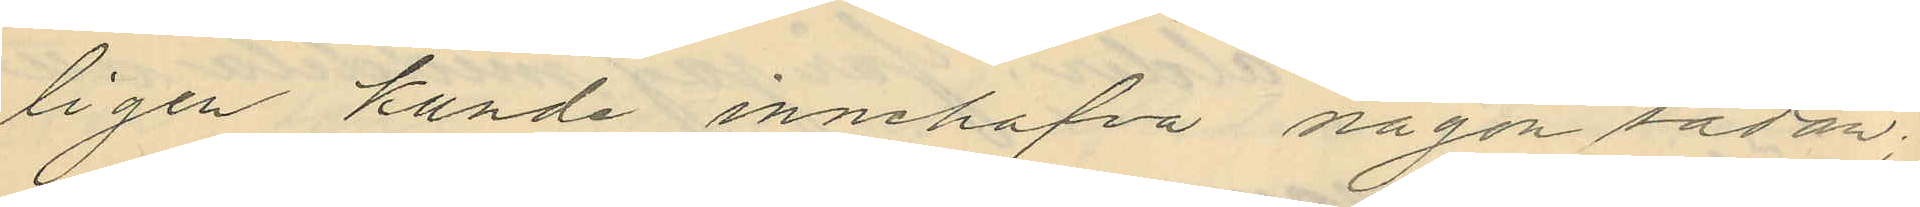ligen kunde innehafva någon sådan
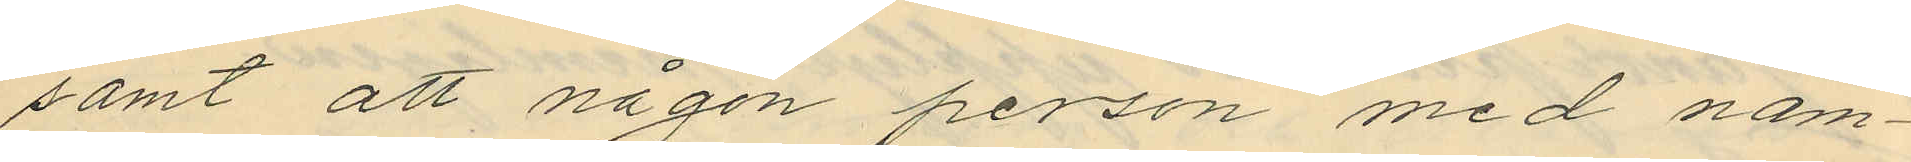samt att någon person med nam¬
